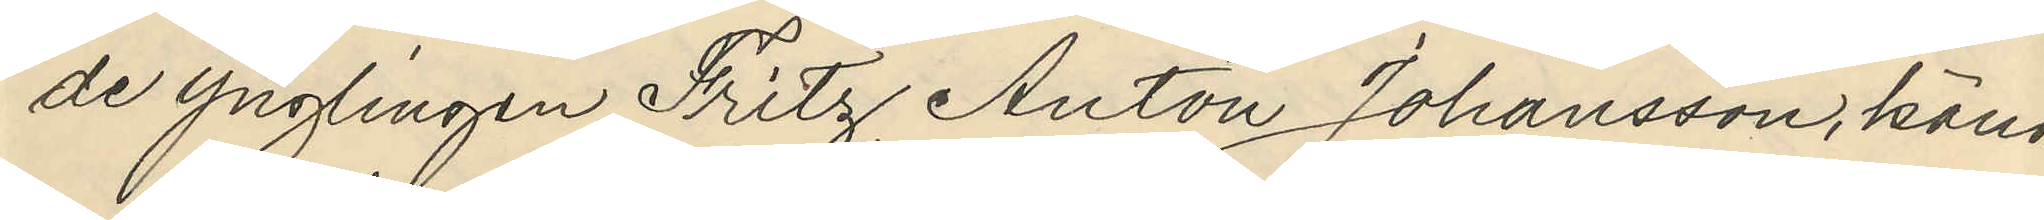de ynglingen Fritz Anton Johansson, känd
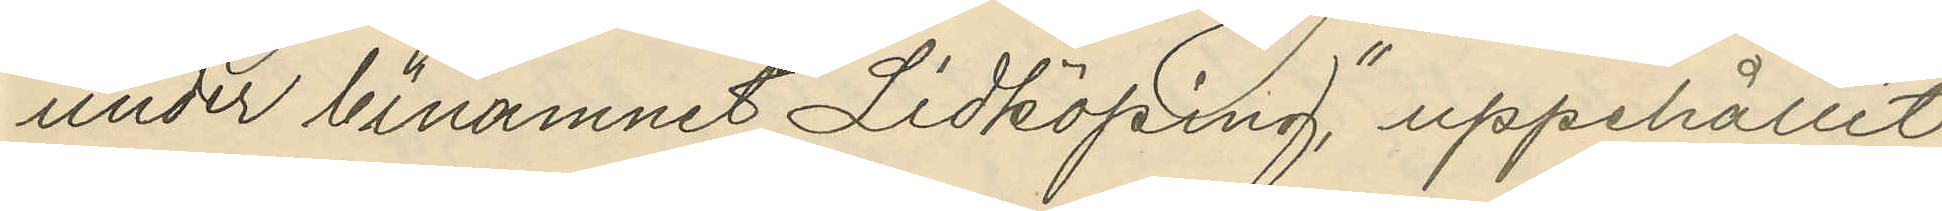under binamnet "Lidköping", uppehållit
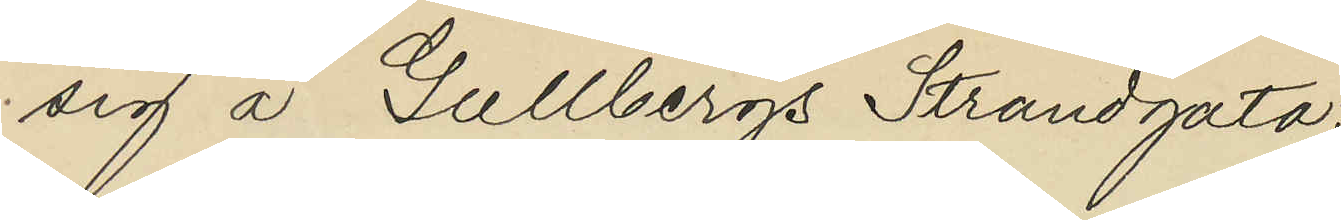sig å Gullbergs Strandgata;
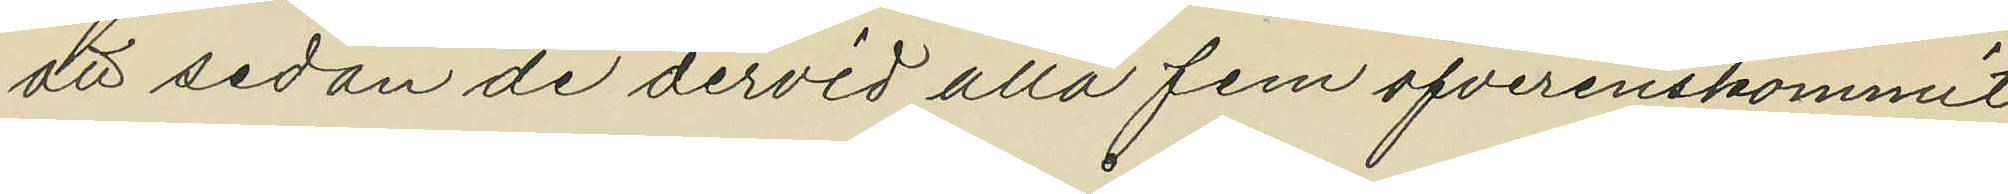att sedan de dervid alla fem öfverenskommit
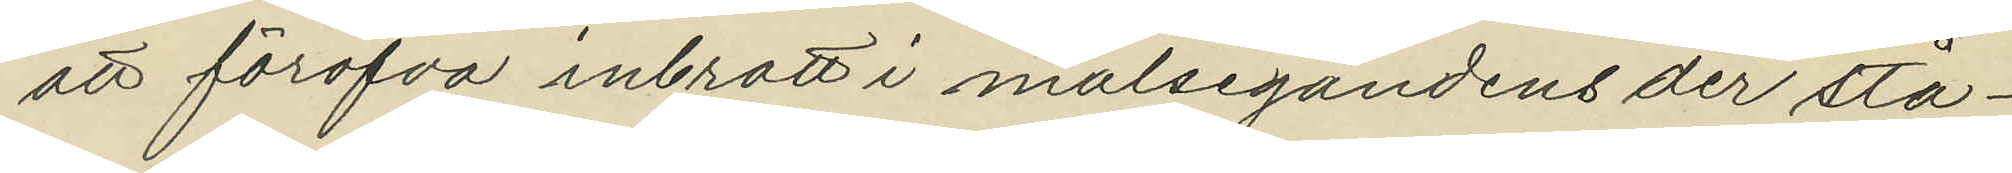att föröfva inbrott i målsegandens der stå¬
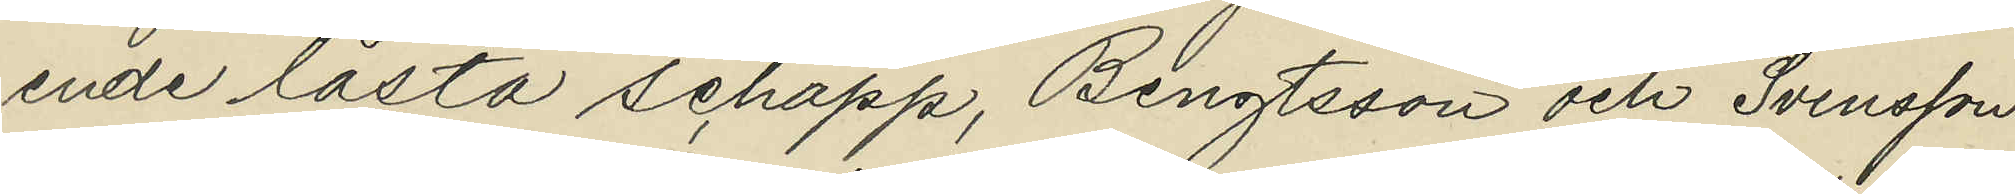ende låsta schapp, Bengtsson och Svensson
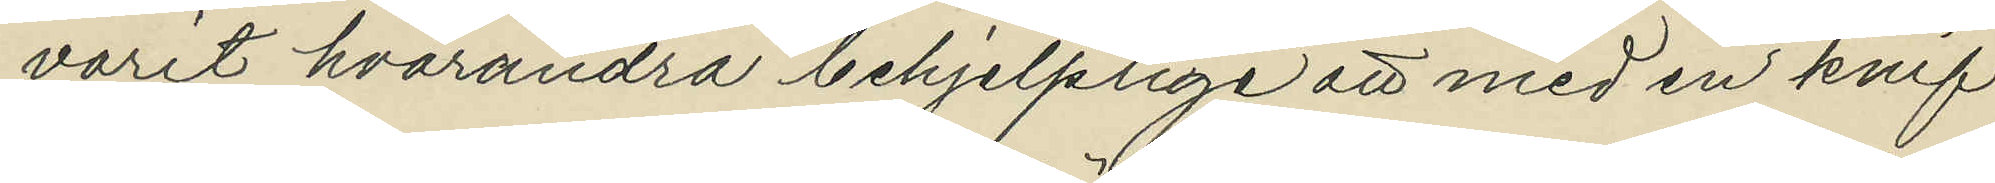varit hvarandra behjelplige att med en knif
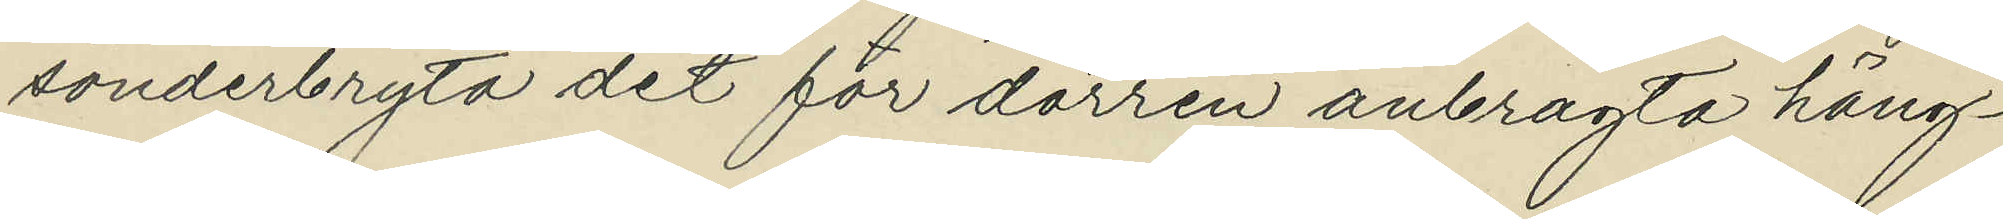sönderbryta det för dörren anbragta häng¬
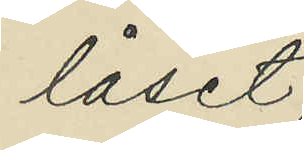låset;
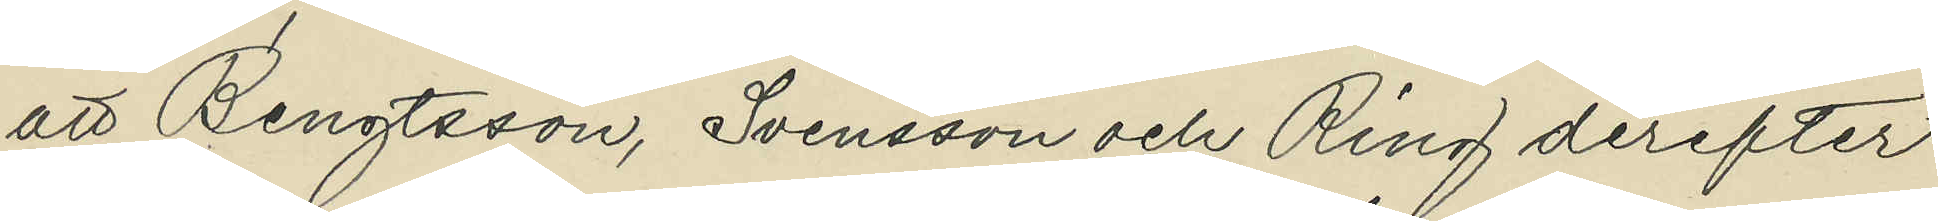att Bengtsson, Svensson och Ring derefter
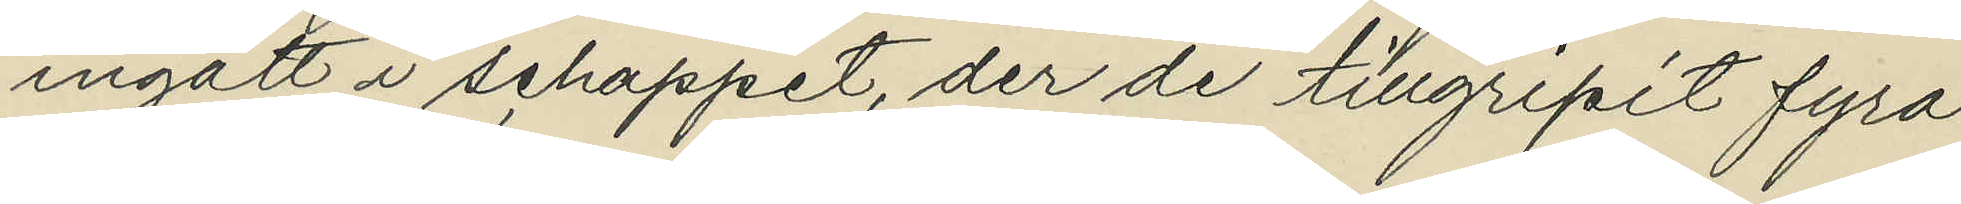ingått i schappet, der de tillgripit fyra
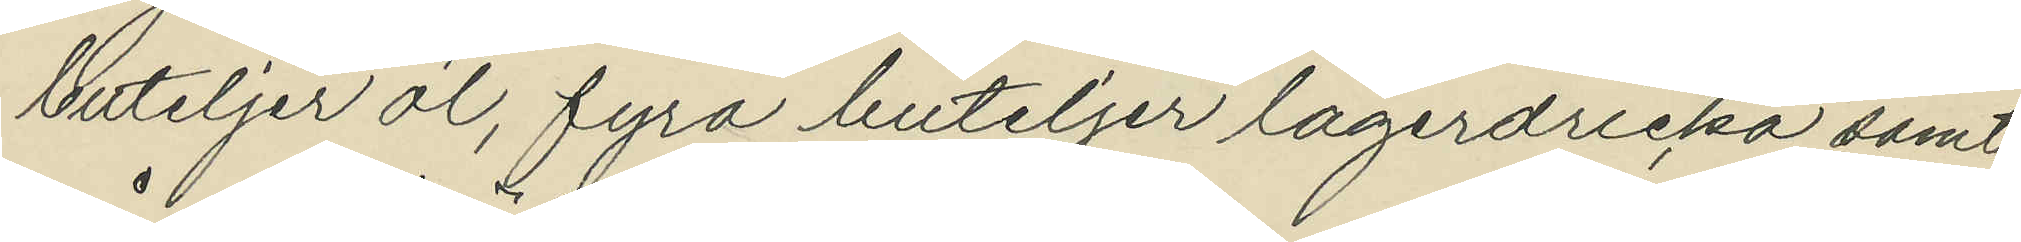buteljer öl, fyra buteljer lagerdricka samt
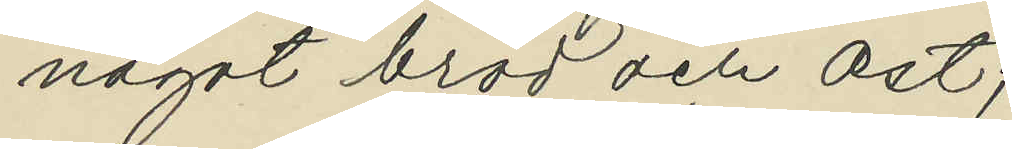något bröd och ost;
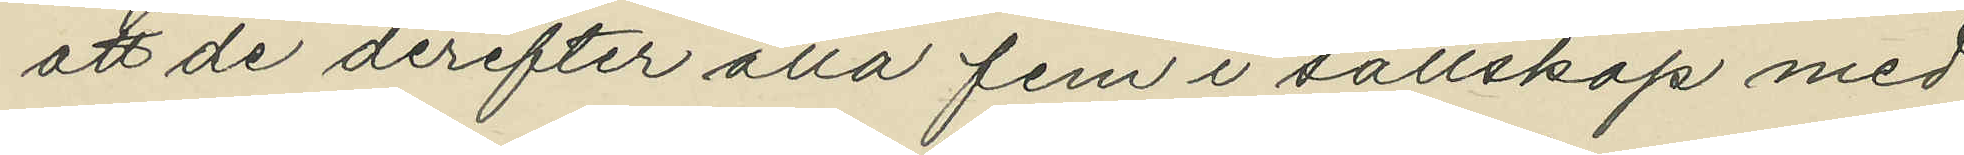att de derefter alla fem i sällskap med
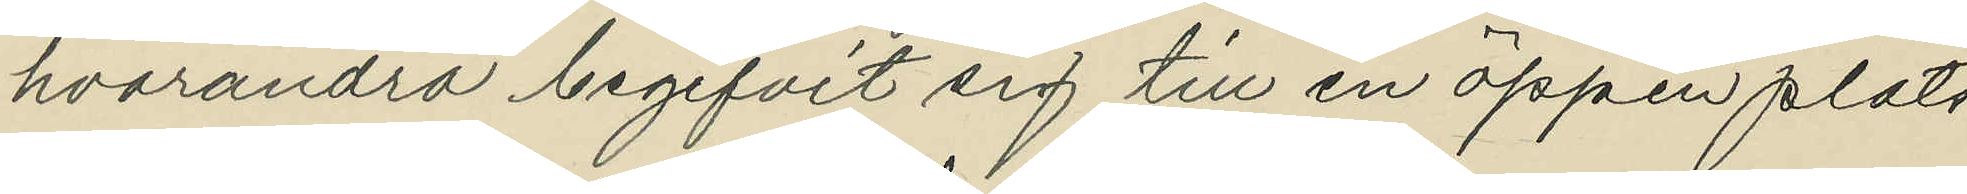hvarandra begifvit sig till en öppen plats
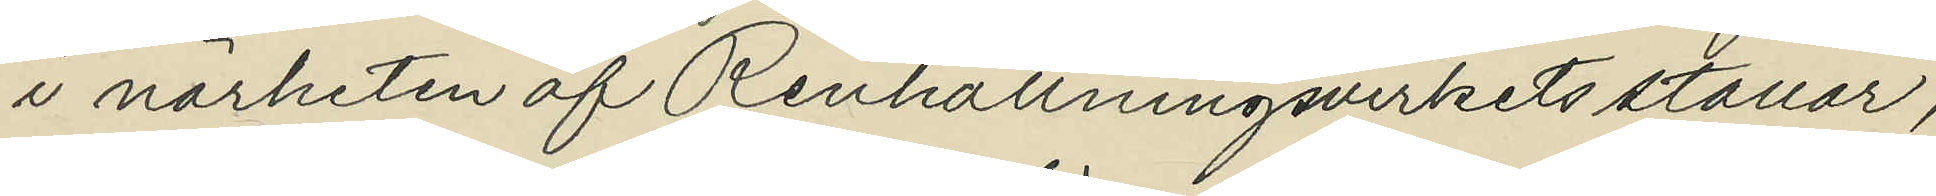i närheten af Renhållningsverkets stallar,
